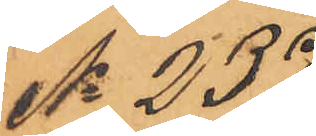No 237
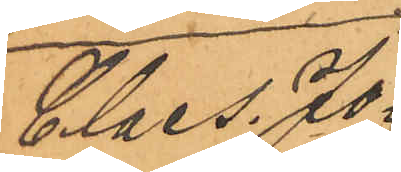Claes. Jo¬
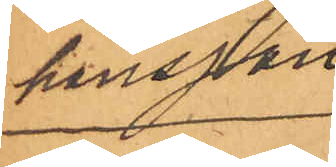hansson
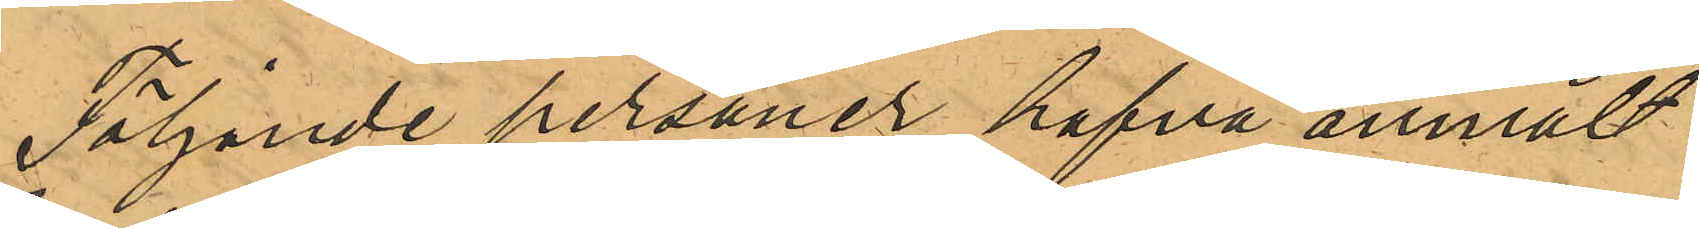Följande personer hafva anmält
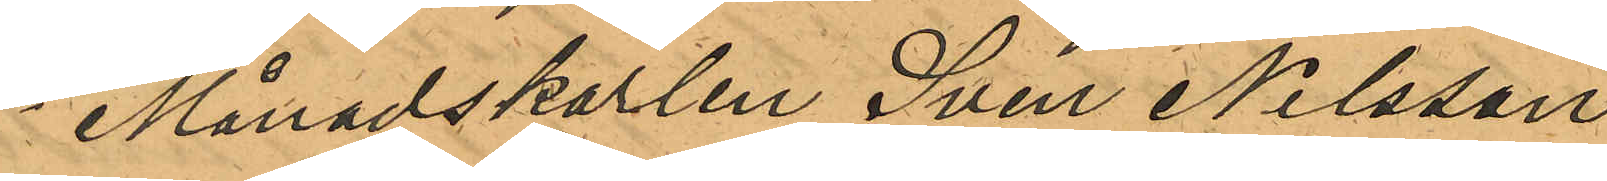1o Månadskarlen Sven Nilsson
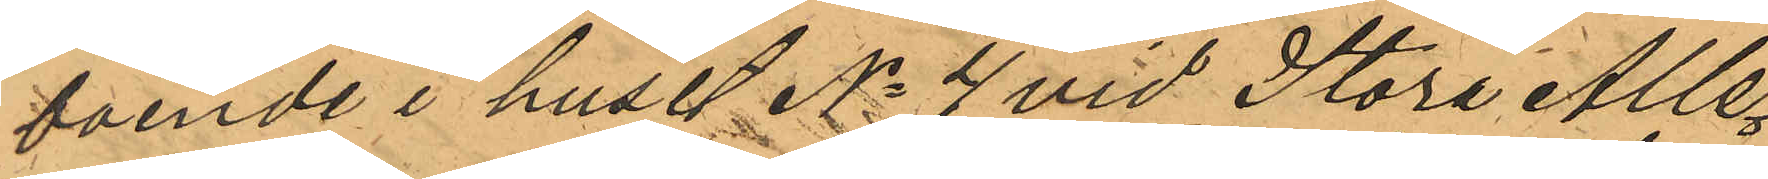boende i huset No 4 vid Stora Alle¬
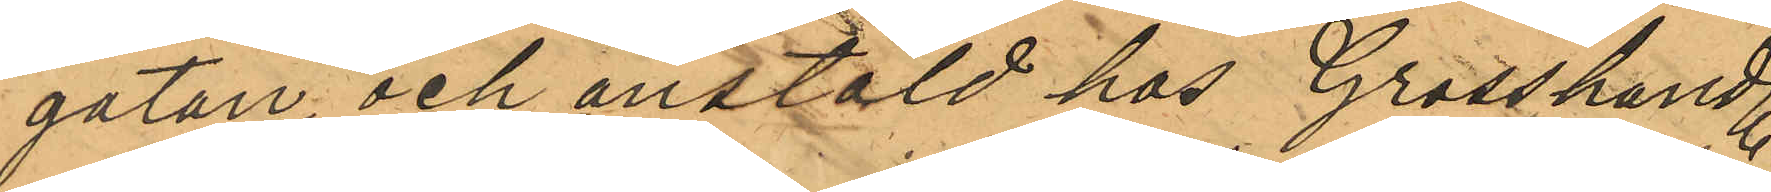gatan, och anstäld hos Grosshandl.
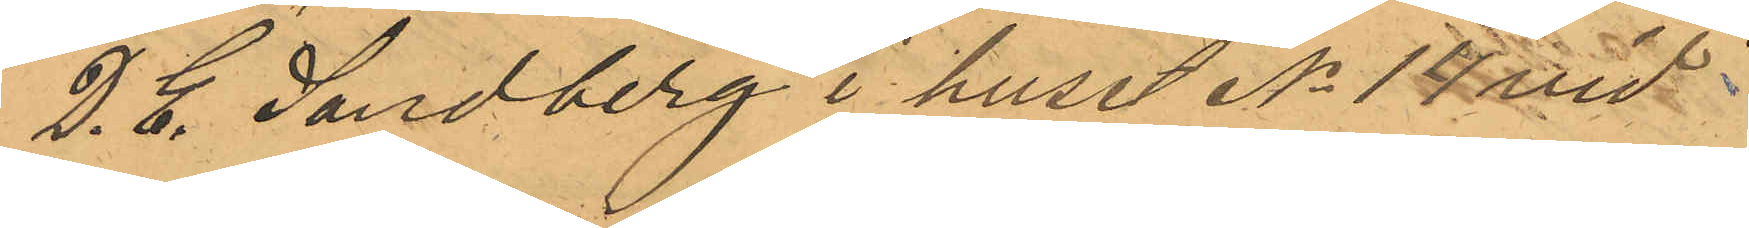D. E. Sandberg i huset No 14 vid
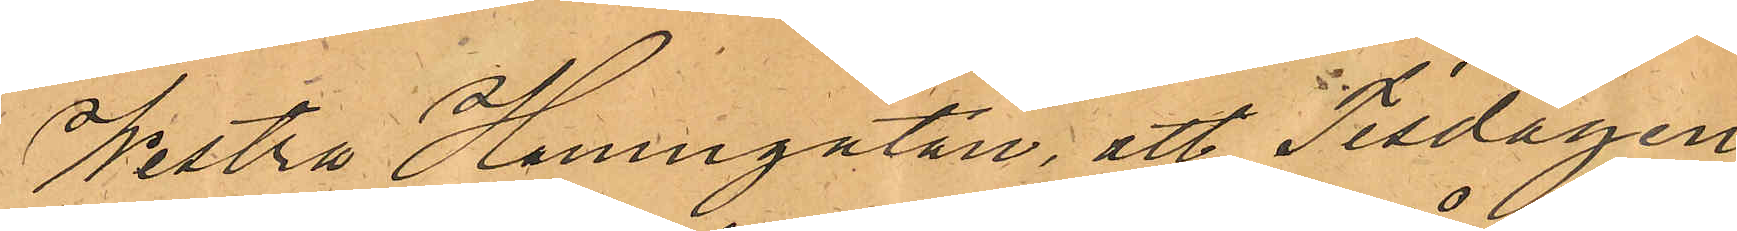Westra Hamngatan, att Tisdagen
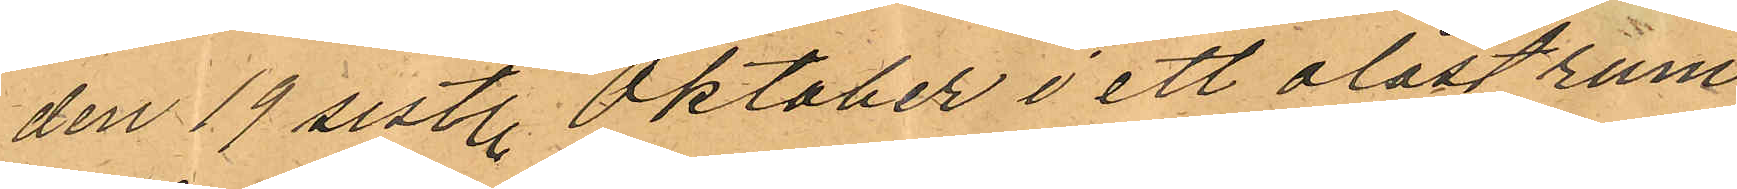den 19 sistl. Oktober i ett olåst rum
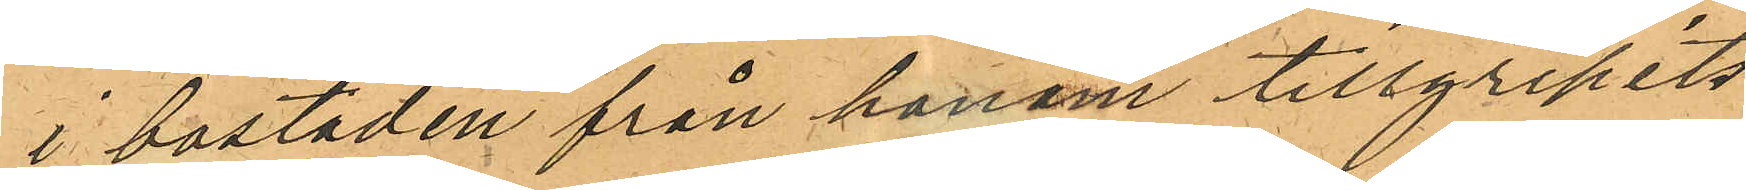i bostaden från honom tillgripits
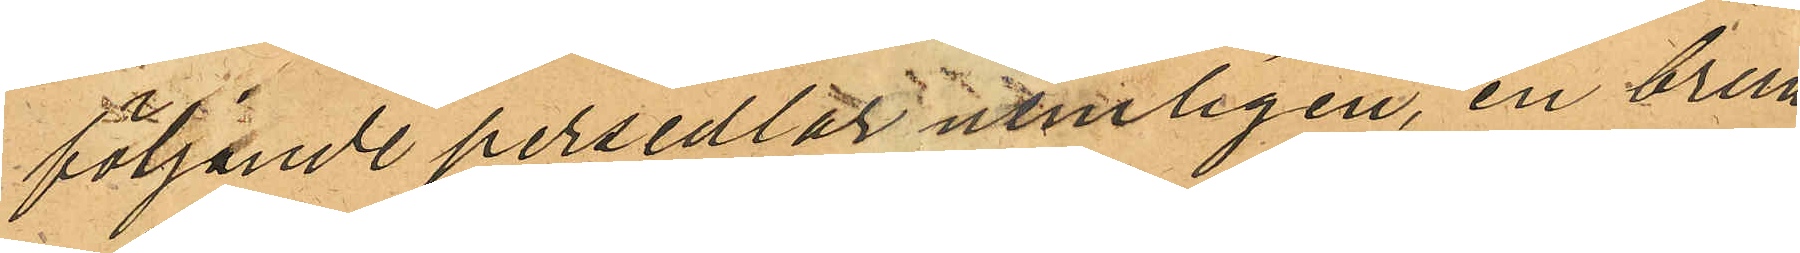följande persedlar nemligen, en brun
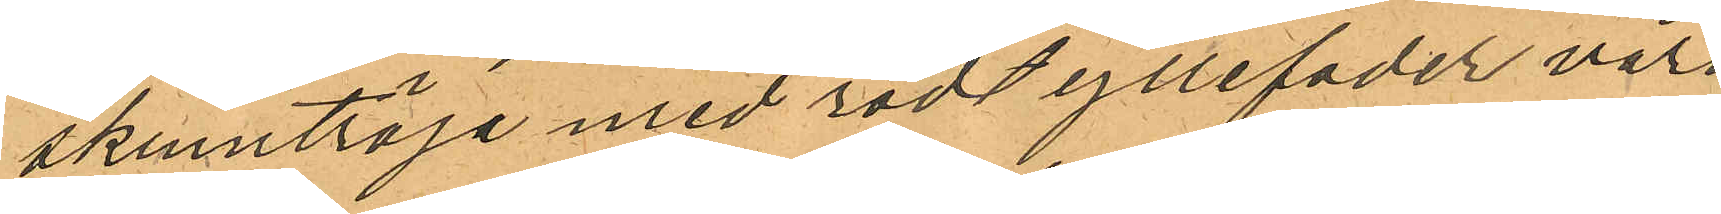skinntröja med rödt yllefoder värd
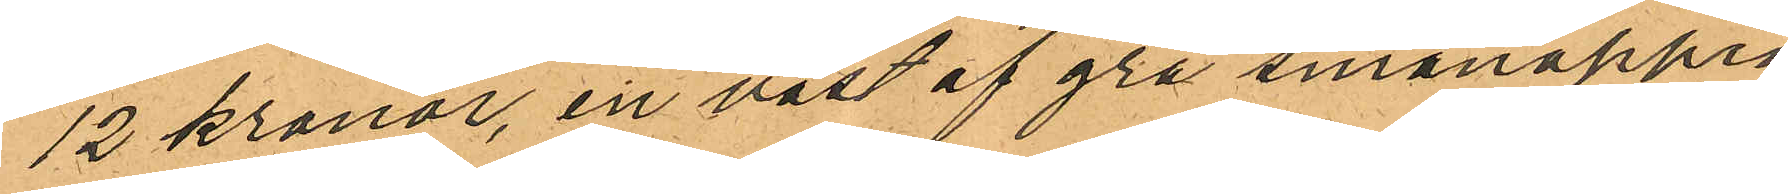12 kronor, en väst af grå smånoppig
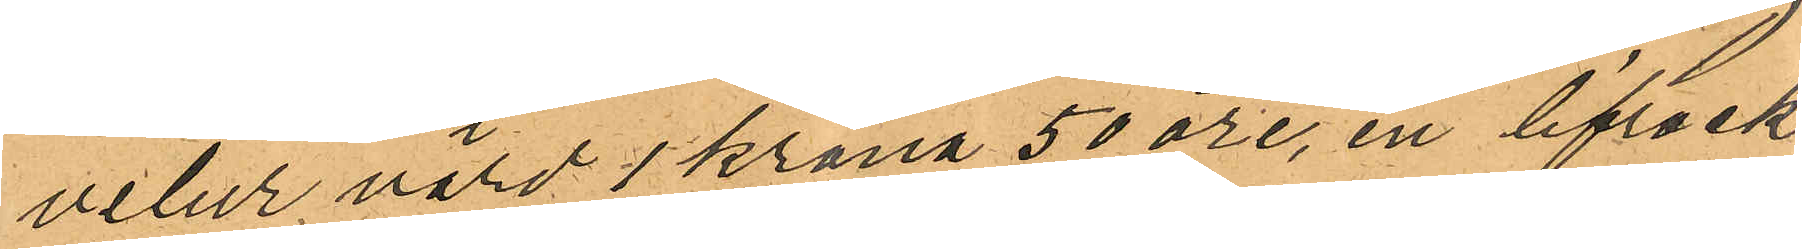velur värd 1 krona 50 öre, en lifrock
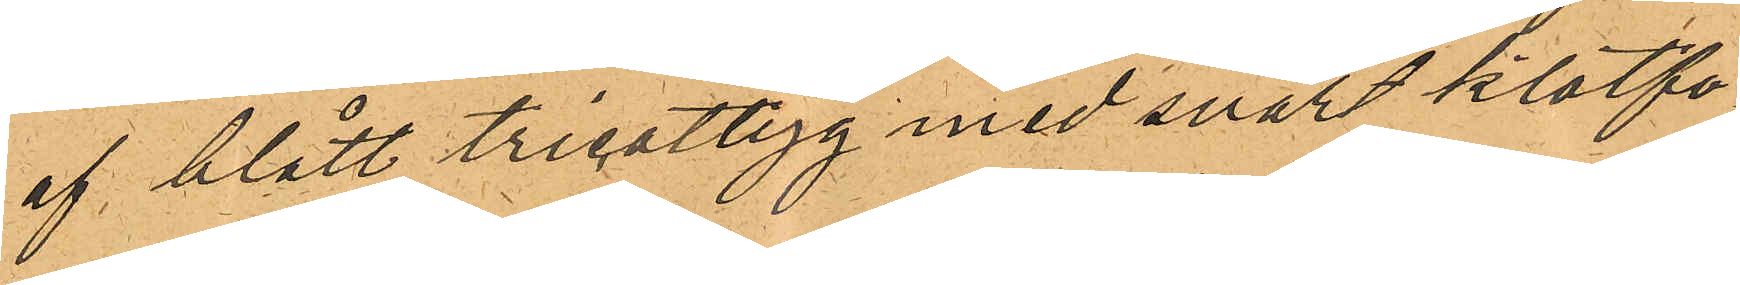af blått tricottyg med svart klotfo¬
